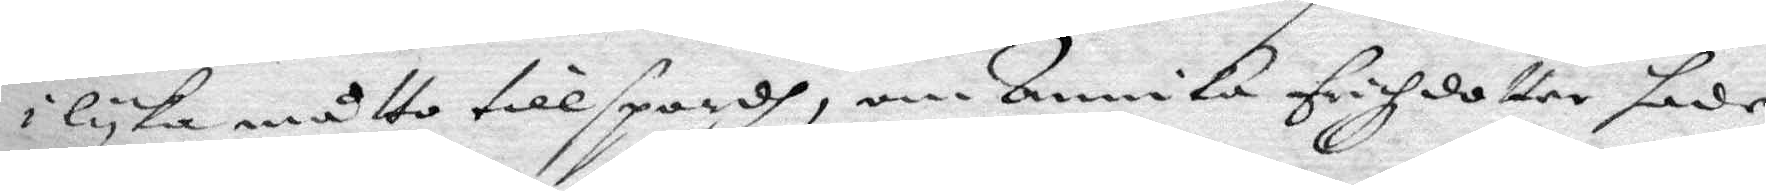i lyka måtto tillspordh, om Annika Erichzdotter hade
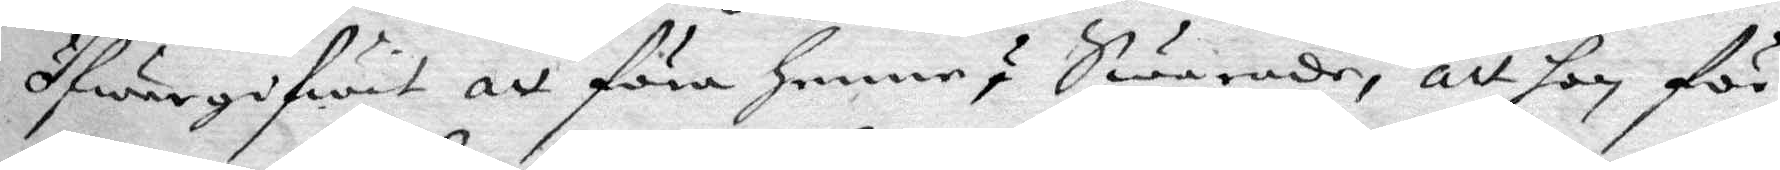fwergifwit att föra henne? Swarade, att hon för
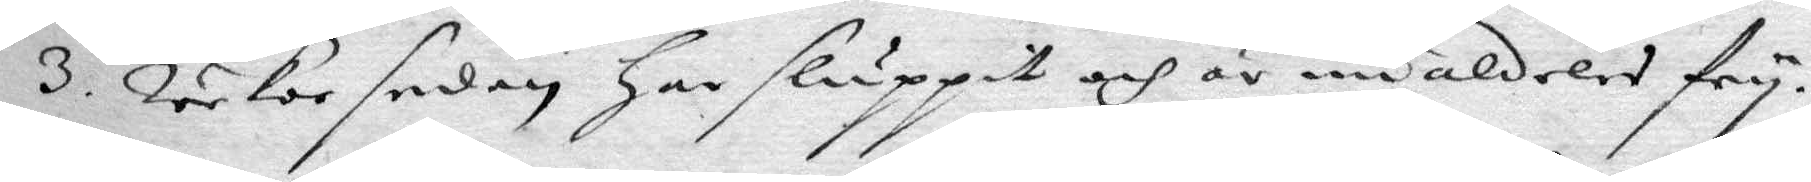3 weckor sedan har sluppit och är nu aldeles fry.
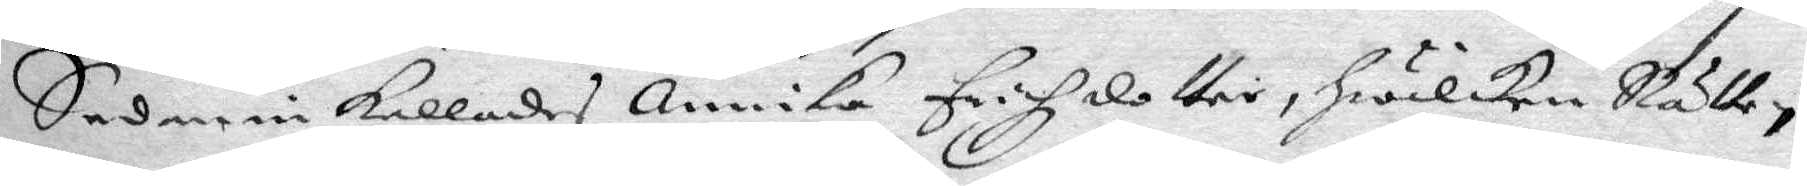Sedan inkallades Annika Erichzdotter, hwilken Rätten
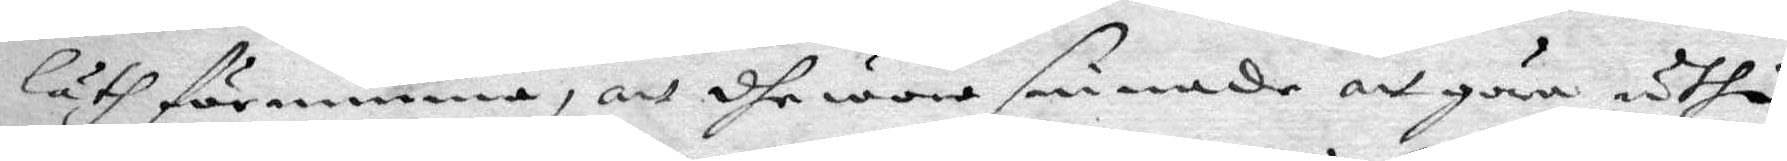läth förnimma, att dhe wore sinnade att göra uthi
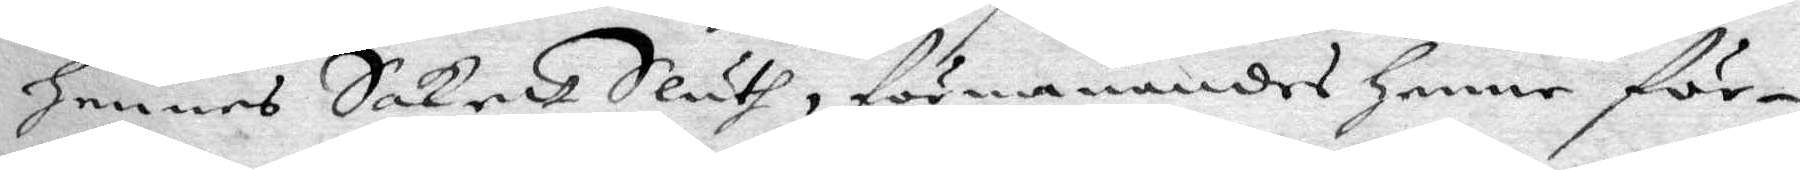hennes Sakett Sluth, förmanandes henne för¬
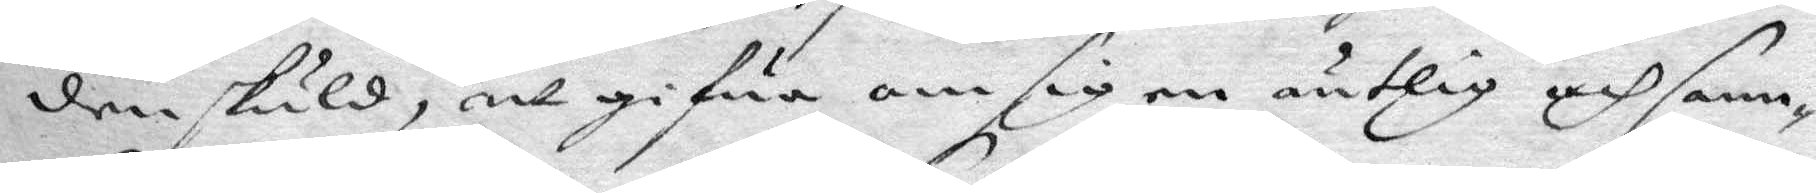den skuld, att gifwa om sig en äntlig och sann¬
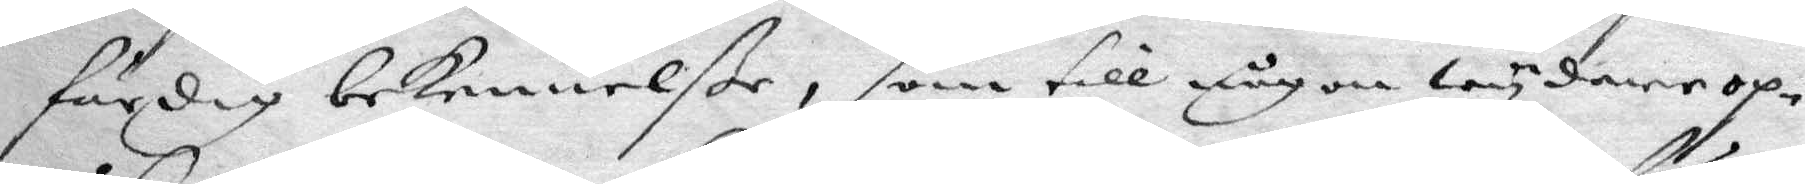färdig bekennelße, som till någon wydare op¬
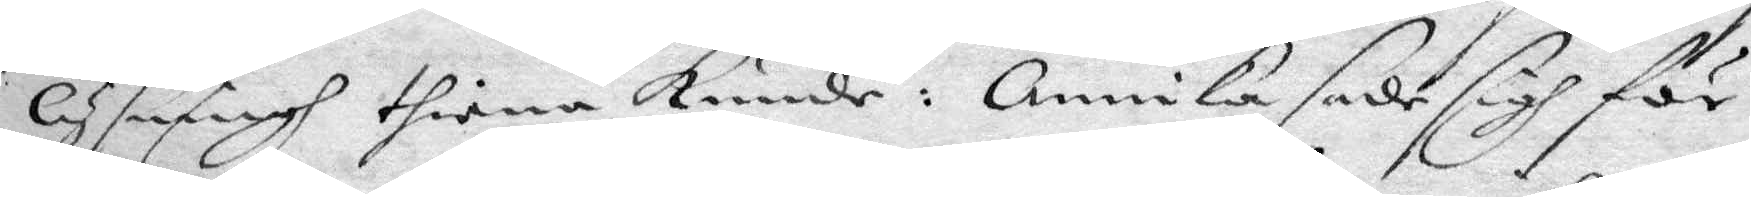lysningh thiena kunde: Annika sade sigh för
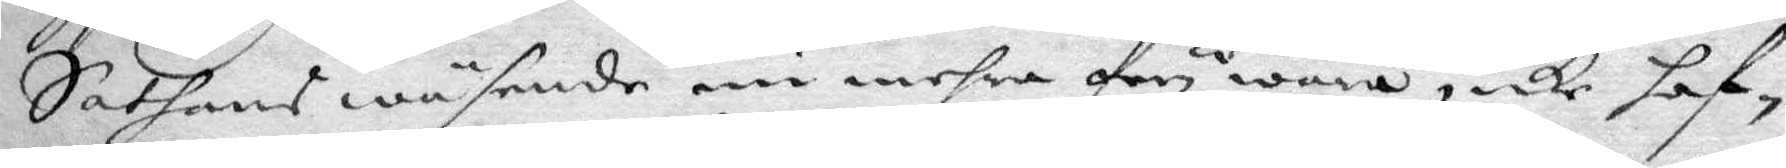Sathans wäsende nu mehra fry wara, icke haf¬
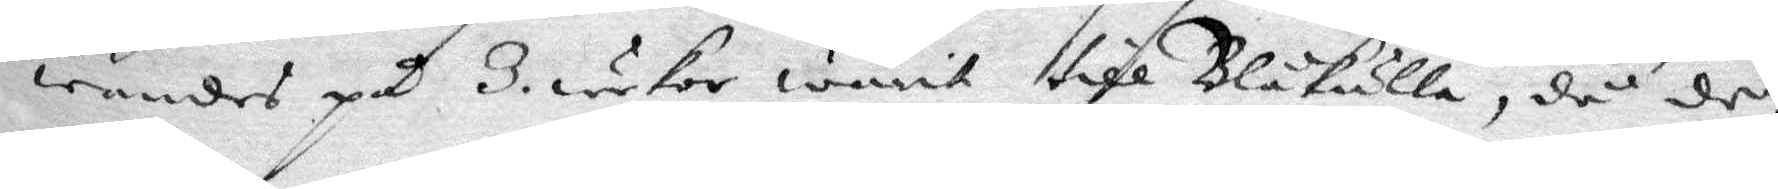wandes på 3. weckor warit till Blåkulla, då den
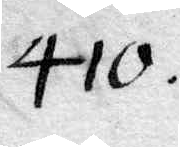410.
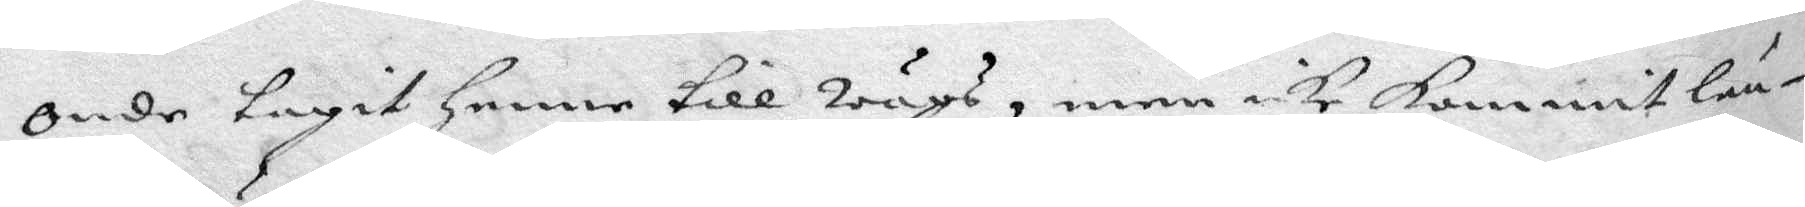Onde tagit henne till Wägs, men icke kommit län¬
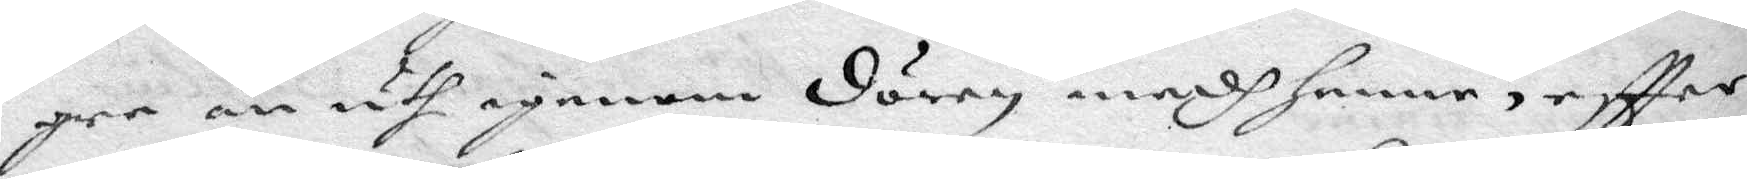gre än uth igenom dören medh henne, eftter
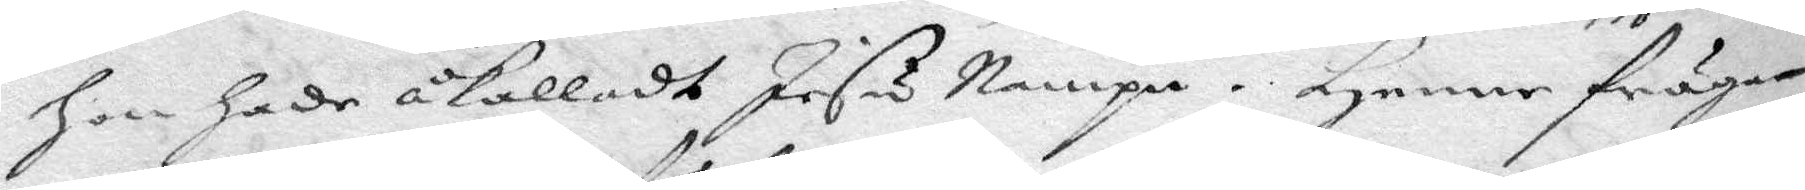Hon hade åkalladt Jesu Nampn. Henne frågan¬
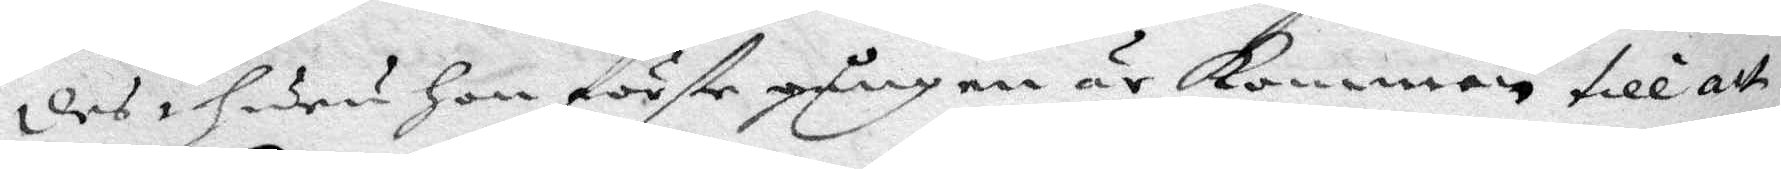des huru hon förste gången är kommen till att
